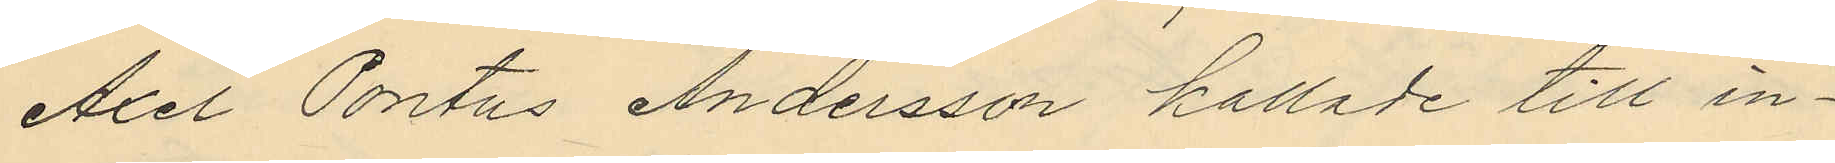Axel Pontus Andersson kallade till in¬
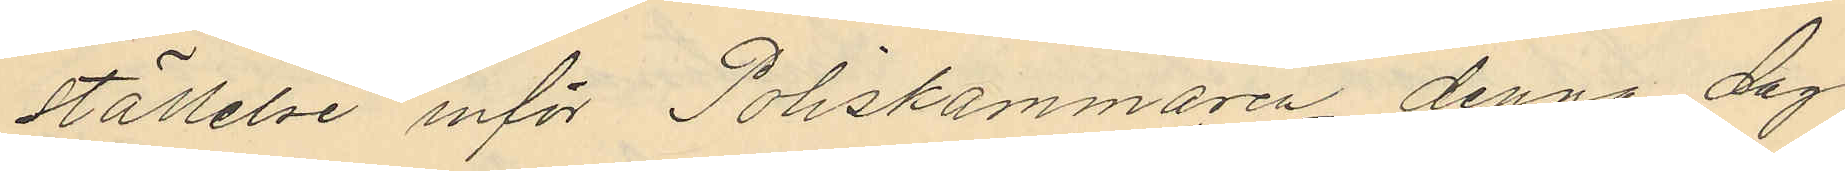ställelse inför Poliskammaren denna dag
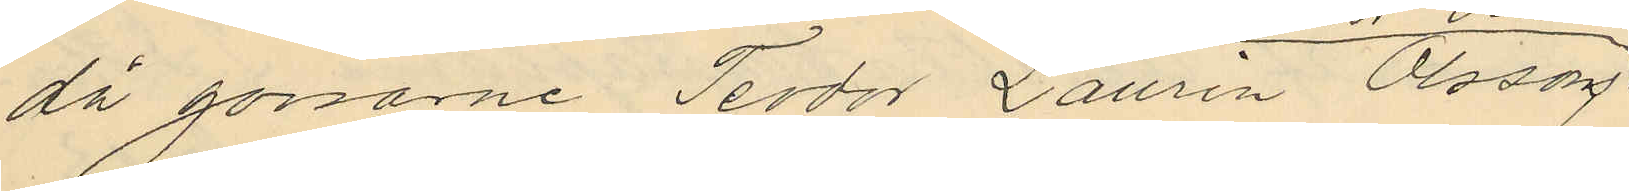då gossarne Teodor Laurin Olsson
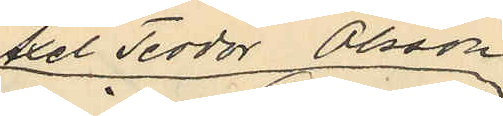Axel Teodor Olsson
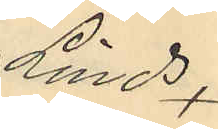Lind,
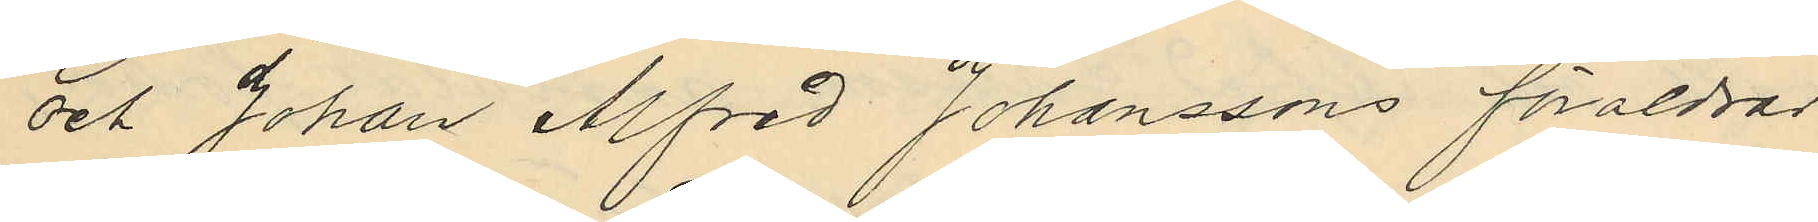och Johan Alfred Johanssons föräldrar
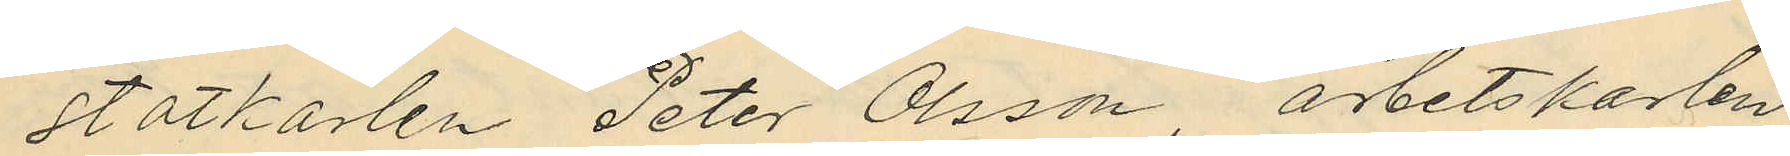statkarlen Peter Olsson, arbetskarlen
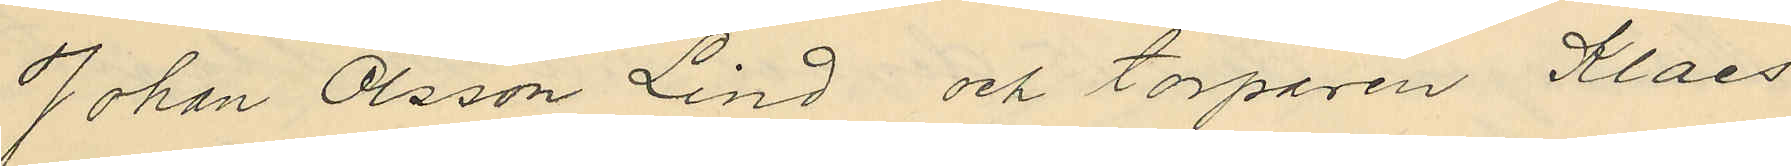Johan Olsson Lind och torparen Klaes
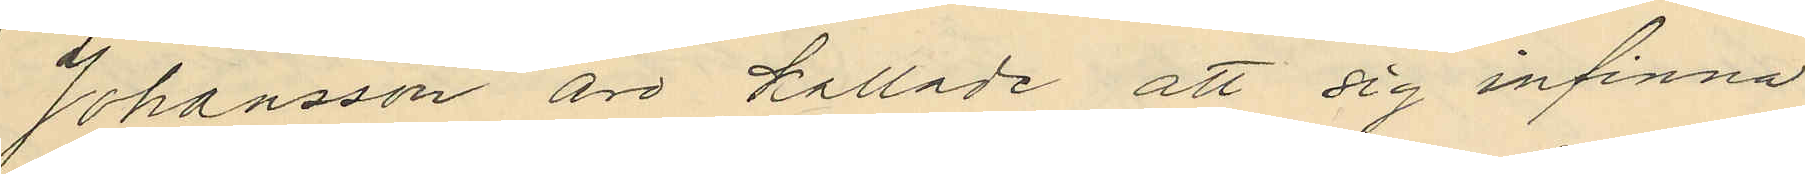Johansson äro kallade att sig infinna
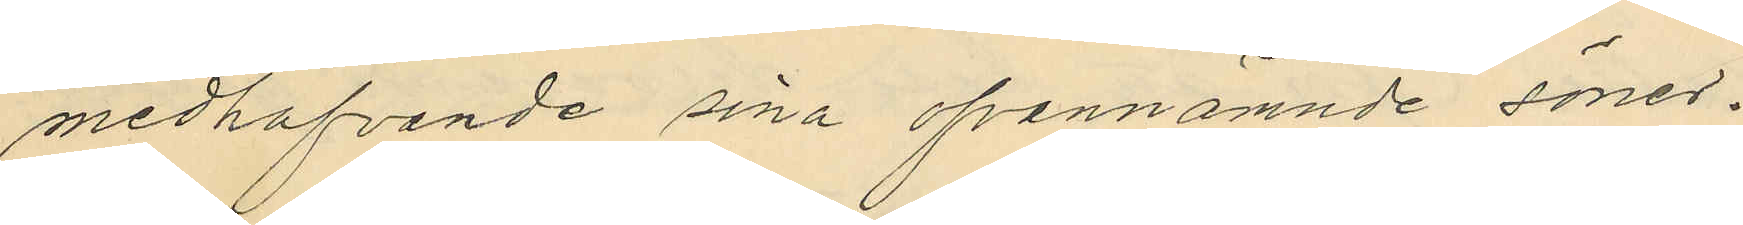medhafvande sina ofvannämnde söner.
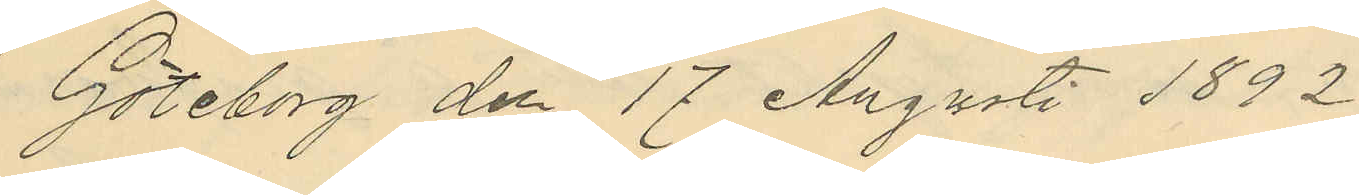Göteborg den 17 Augusti 1892
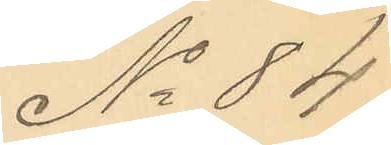No 84
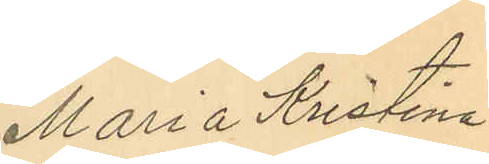Maria Kristina
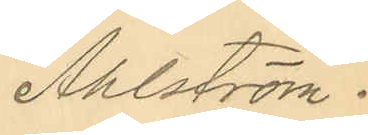Ahlström.
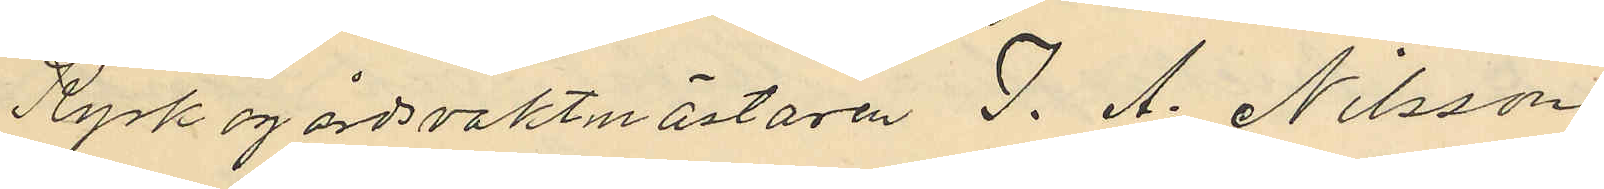Kyrkogårdsvaktmästaren J. A. Nilsson
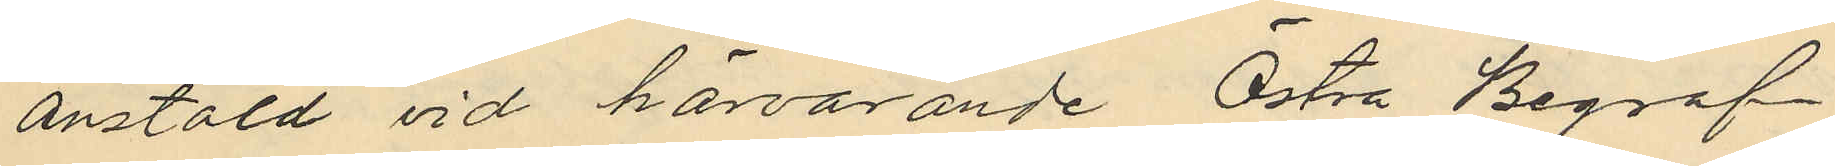anstäld vid härvarande Östra Begraf¬
